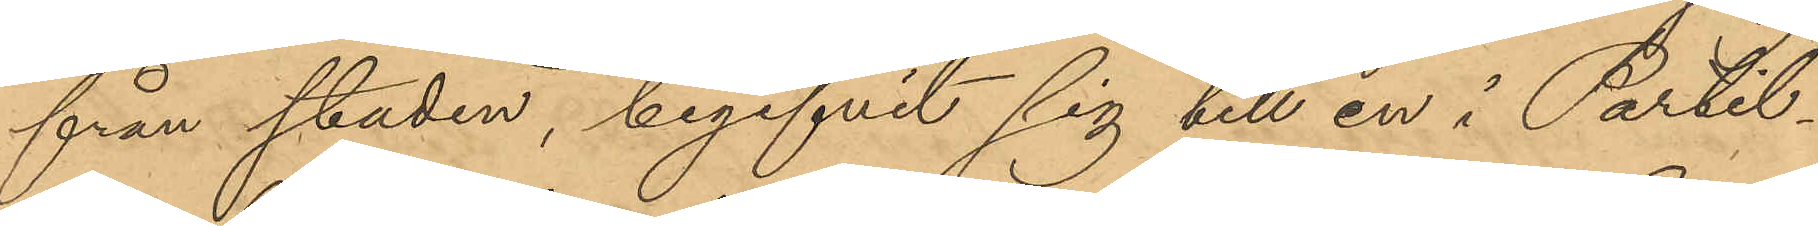från staden, begifvit sig till en i Partil¬
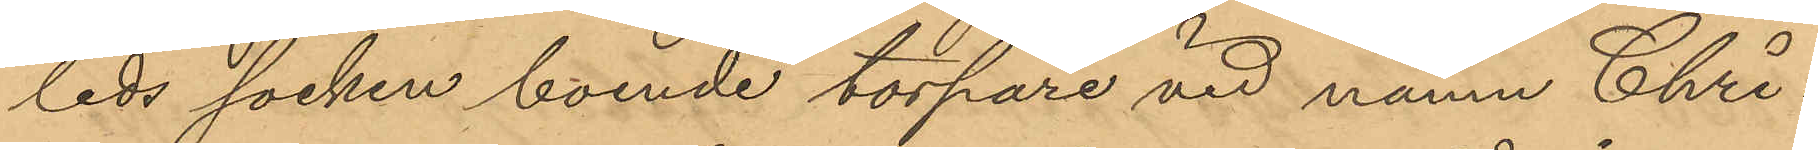leds socken boende torpare vid namn Chri¬
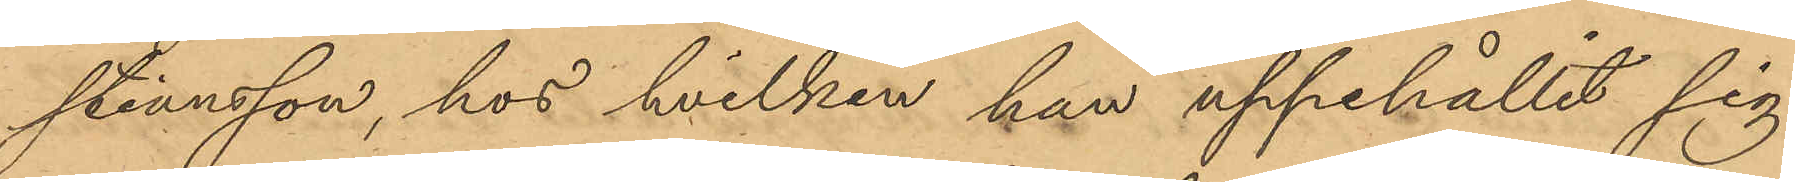stiansson, hos hvilken han uppehållit sig
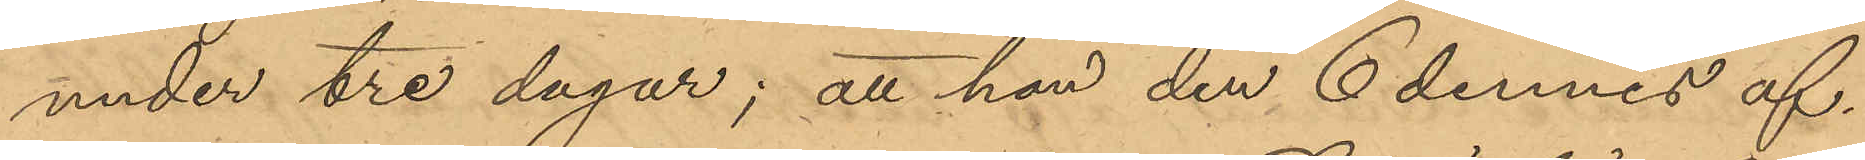under tre dagar; att han den 6 dennes af¬
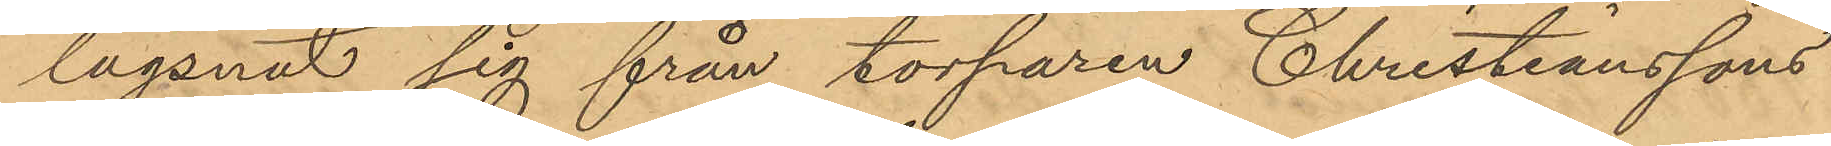lägsnat sig från torparen Christianssons
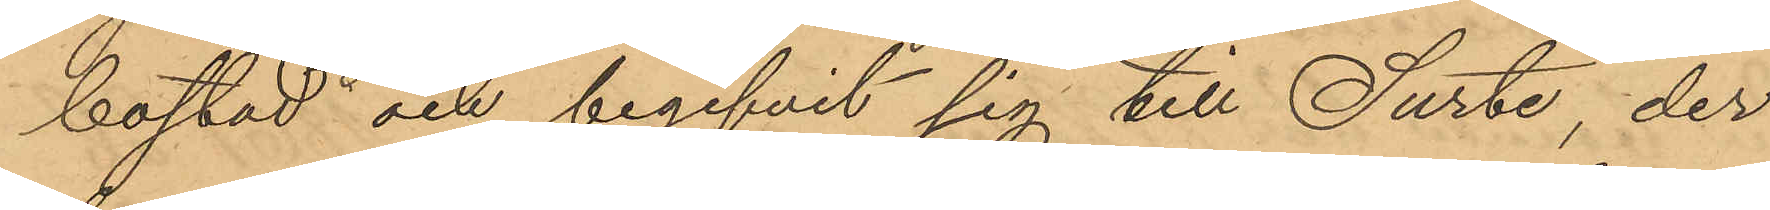bostad och begifvit sig till Surte, der
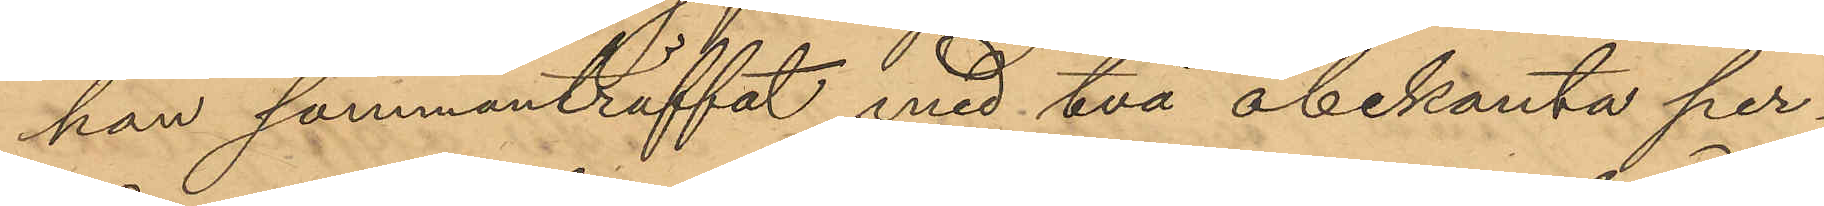han sammanträffat med två obekanta per¬
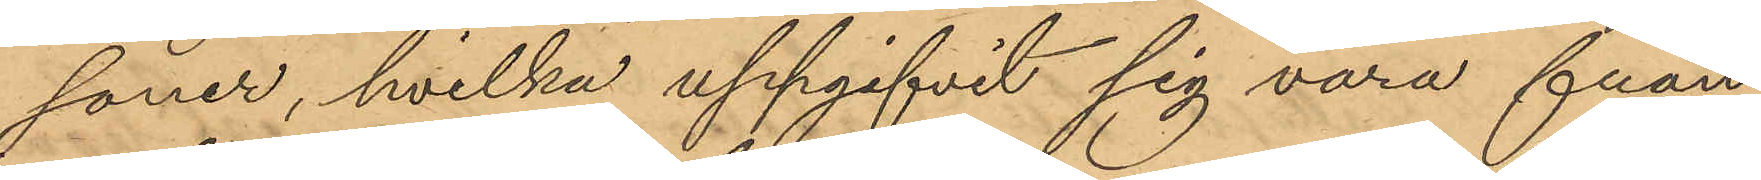soner, hvilka uppgifvit sig vara från
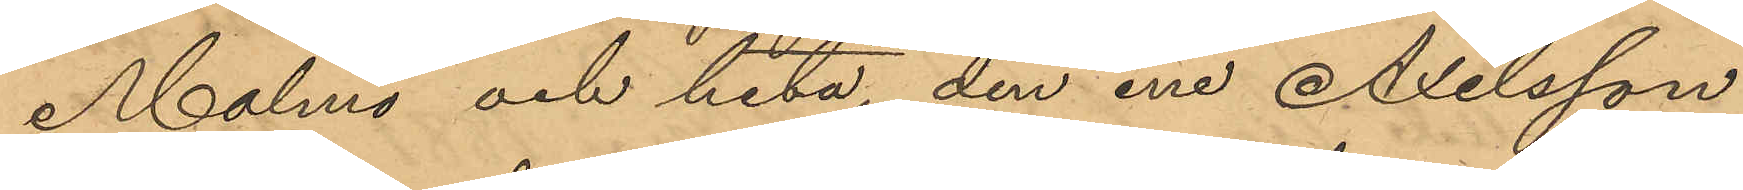Malmö och heta, den ene Axelsson
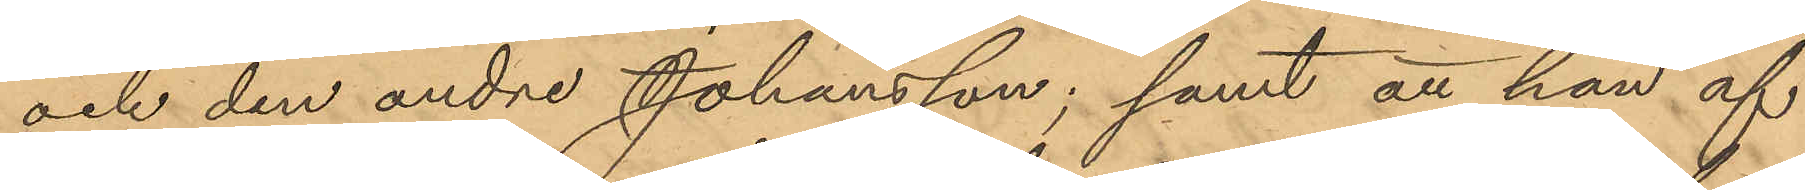och den andre Johansson; samt att han af
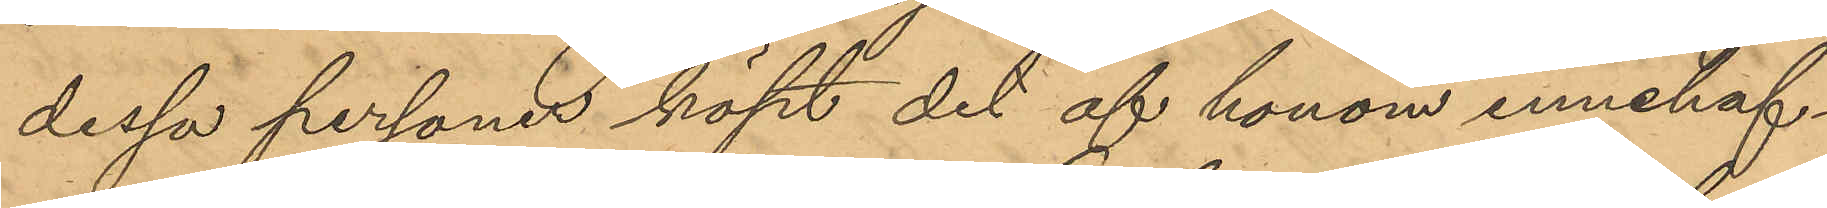dessa personer köpt det af honom innehaf¬
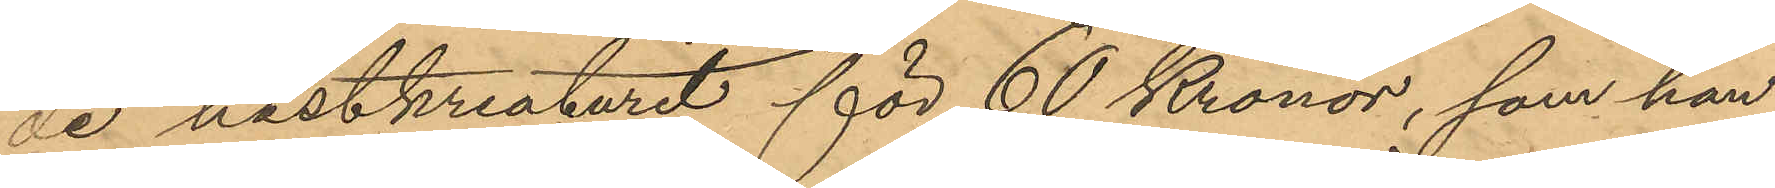de hästkreaturet för 60 Kronor, som han
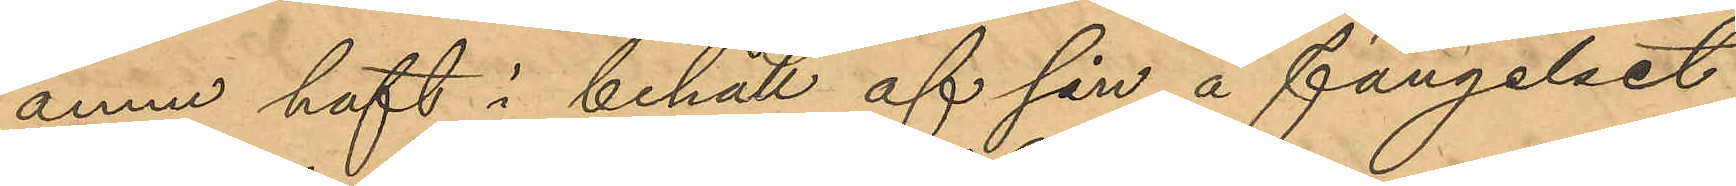ännu haft i behåll af sin å fängelset
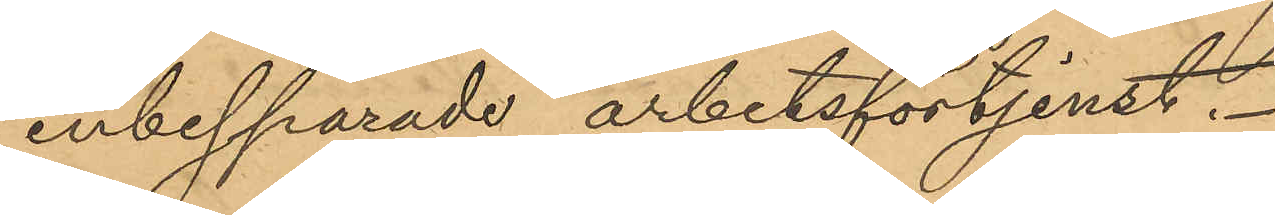inbesparade arbetsförtjenst.
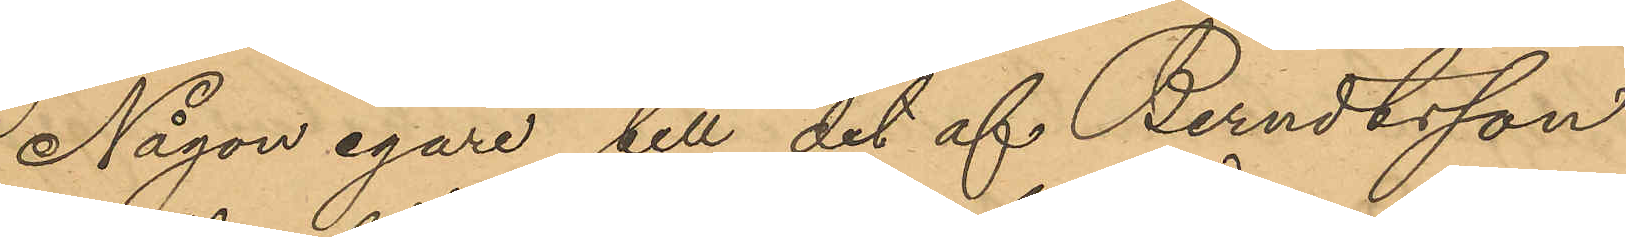Någon egare till det af Berndtsson
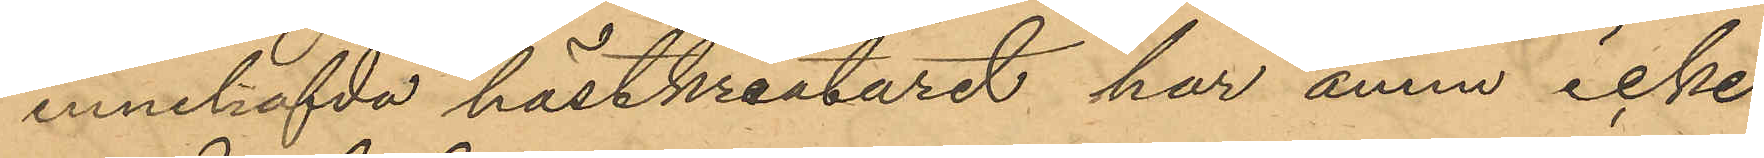innehafvda hästkreaturet har ännu icke
